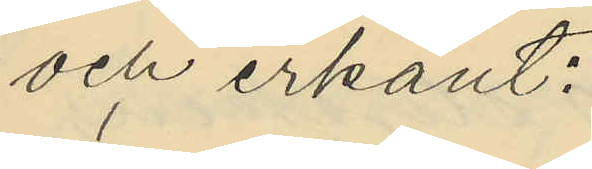och erkänt:
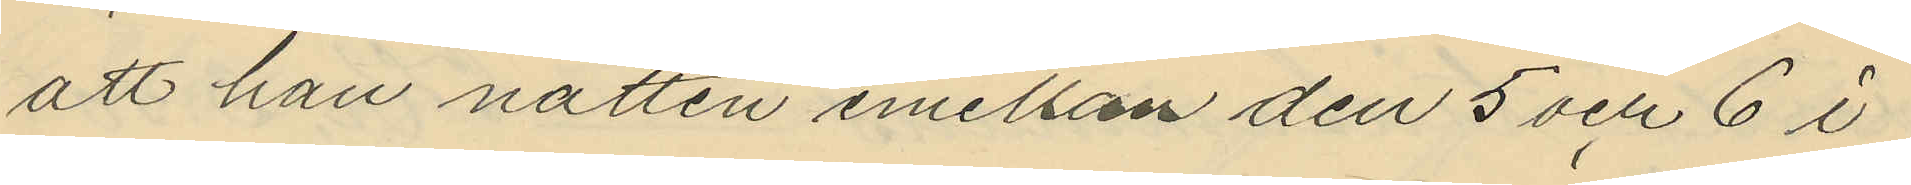att han natten emellan den 5 och 6 i
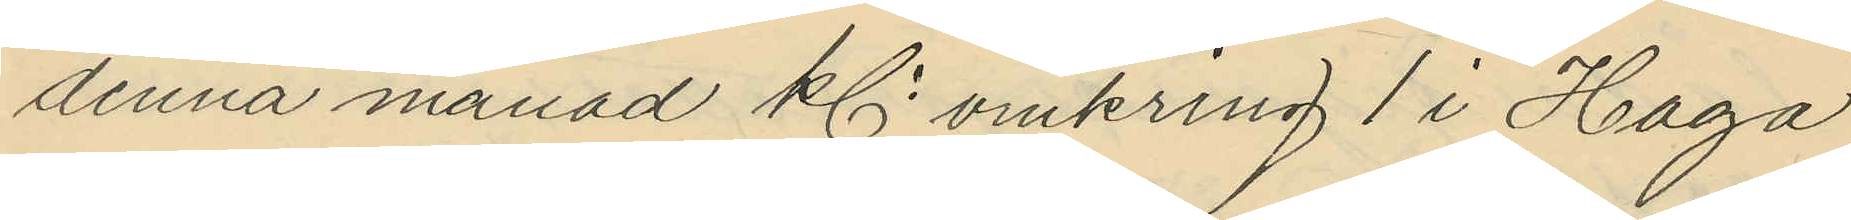denna månad kl omkring 1 i Haga
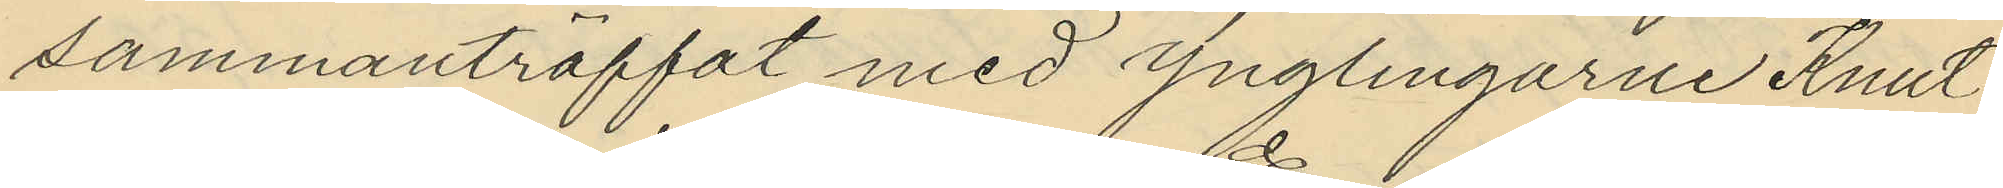sammanträffat med ynglingarne Knut
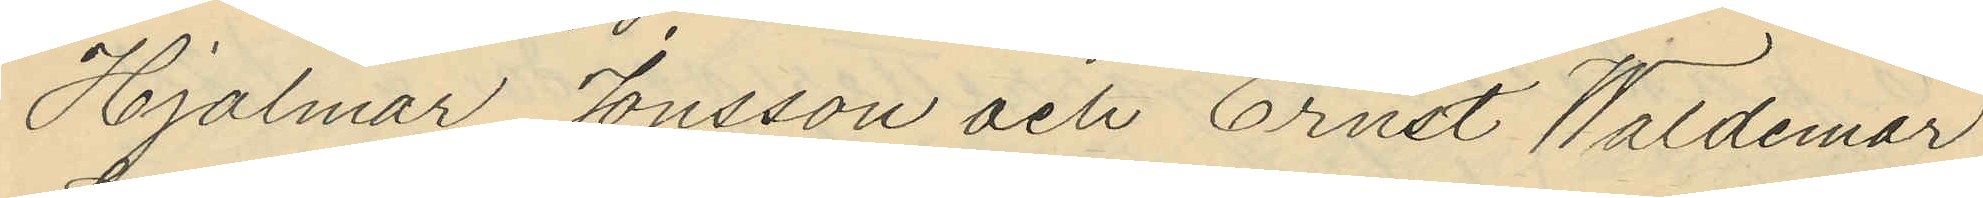Hjalmar Jonsson och Ernst Waldemar
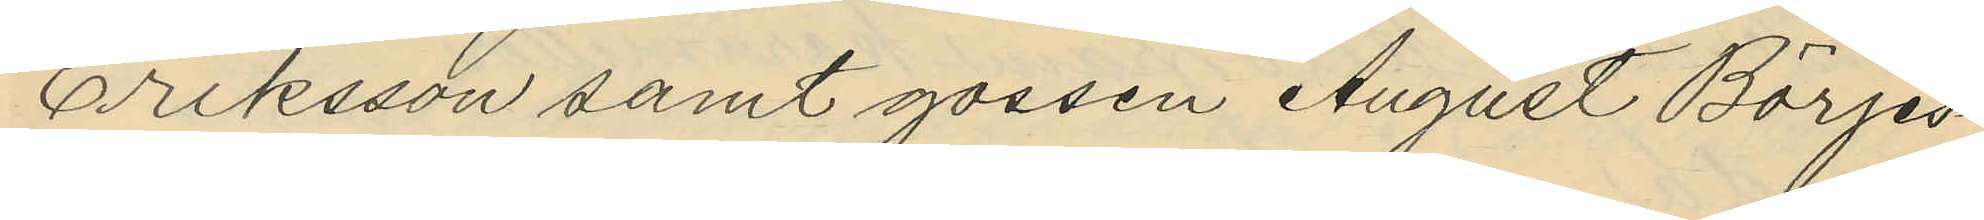Eriksson samt gossen August Börjes¬
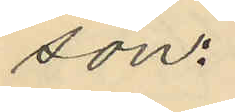son:
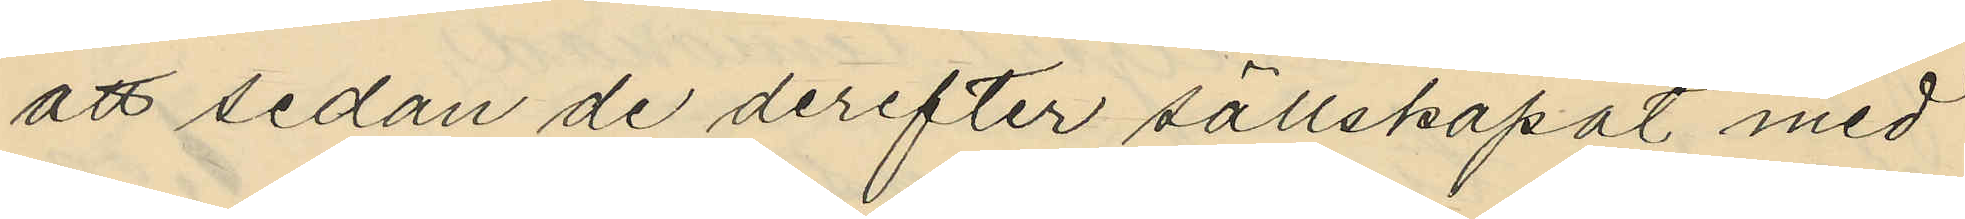att sedan de derefter sällskapat med
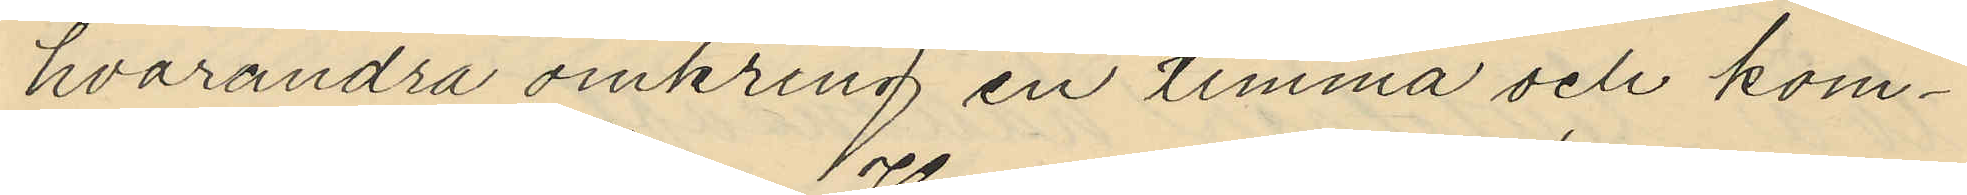hvarandra omkring en timma och kom¬
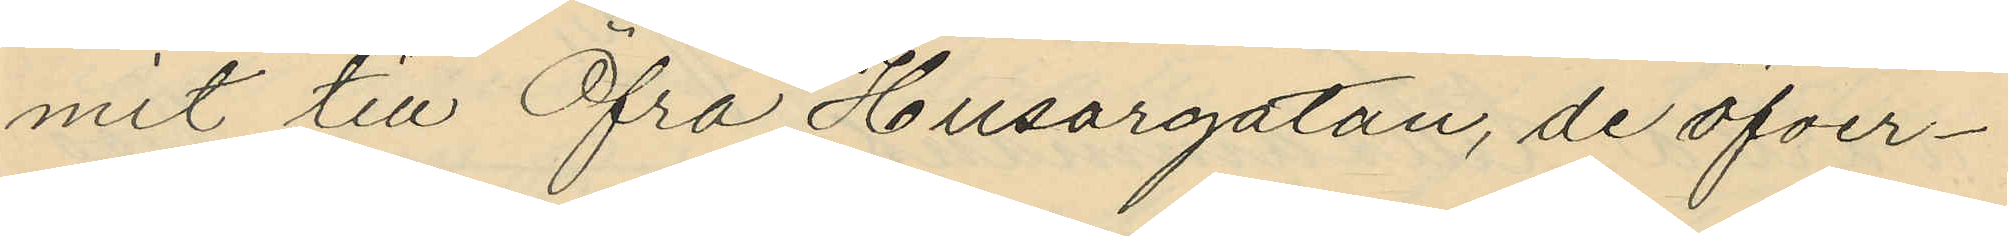mit till Öfra Husargatan, de öfver¬
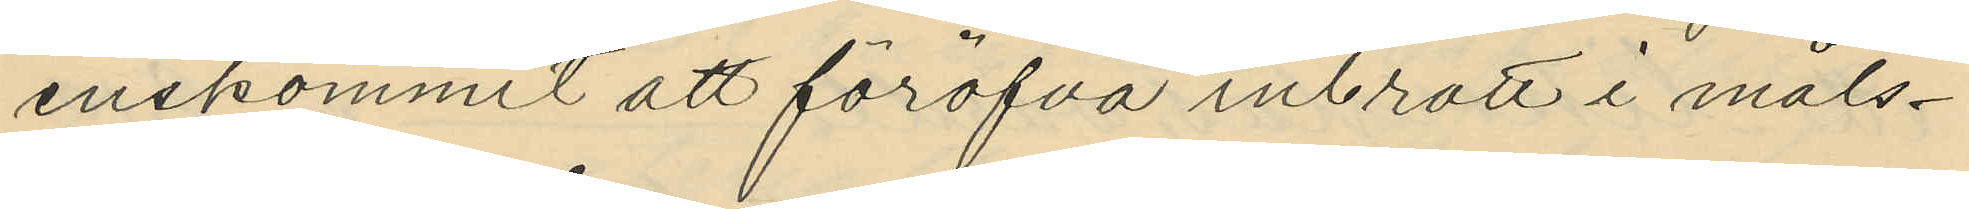enskommit att föröfva inbrott i måls¬
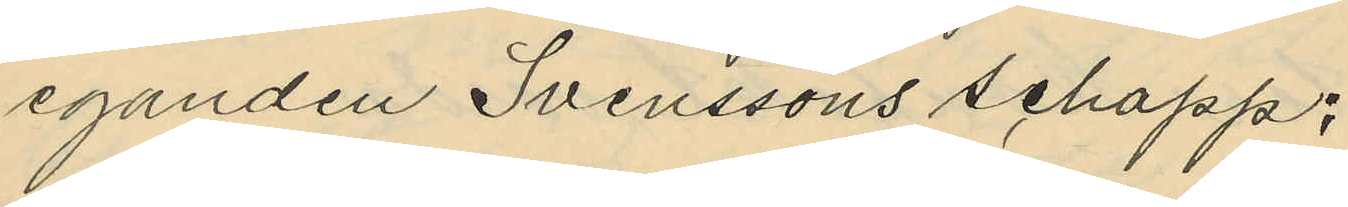eganden Svenssons schapp;
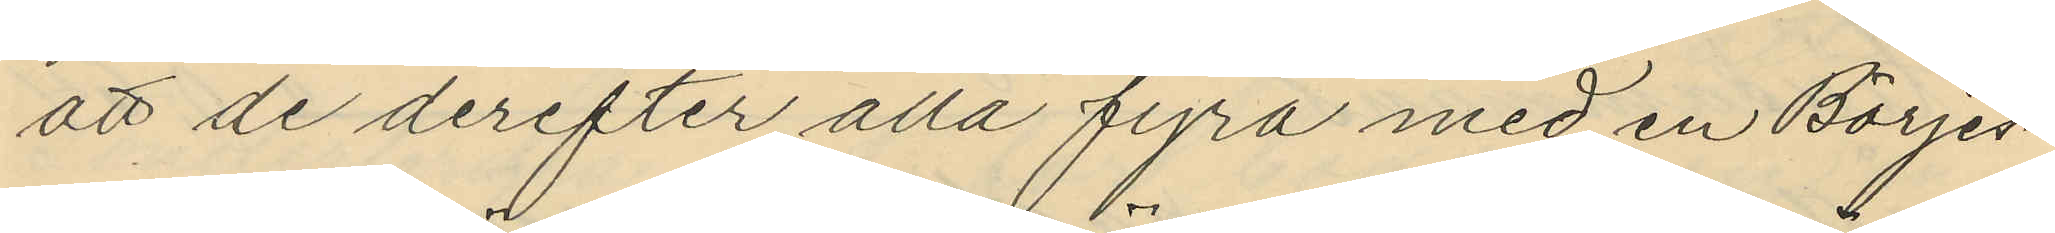att de derefter alla fyra med en Börjes¬
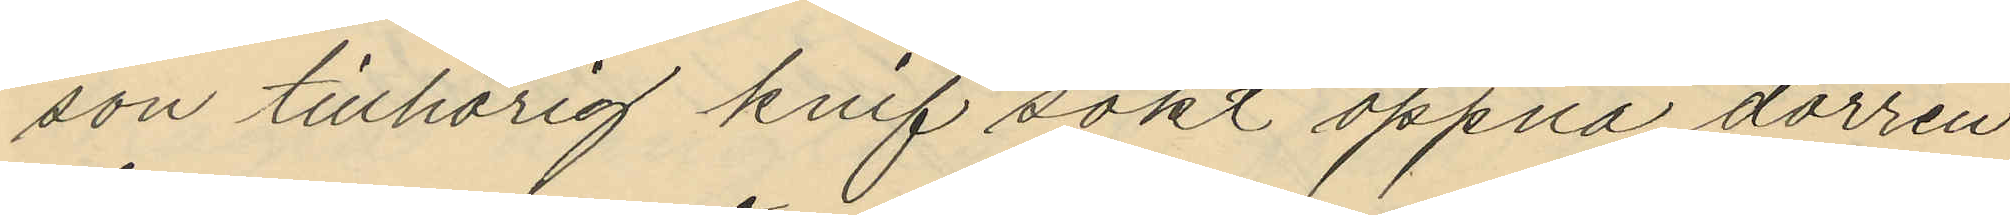son tillhörig knif sökt öppna dörren
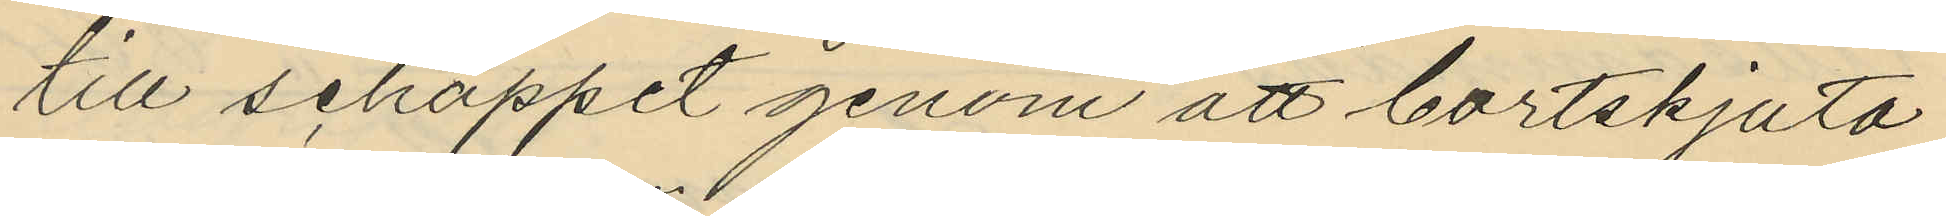till schappet genom att bortskjuta
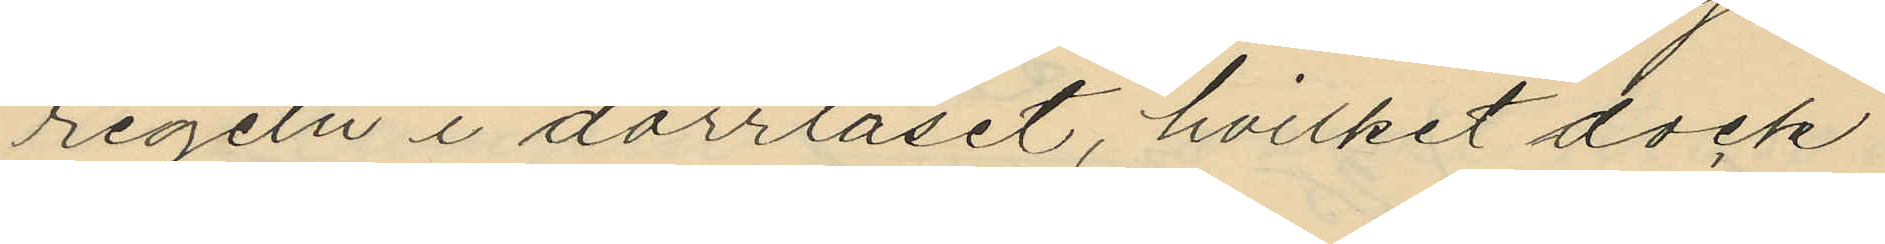regeln i dörrlåset, hvilket dock
